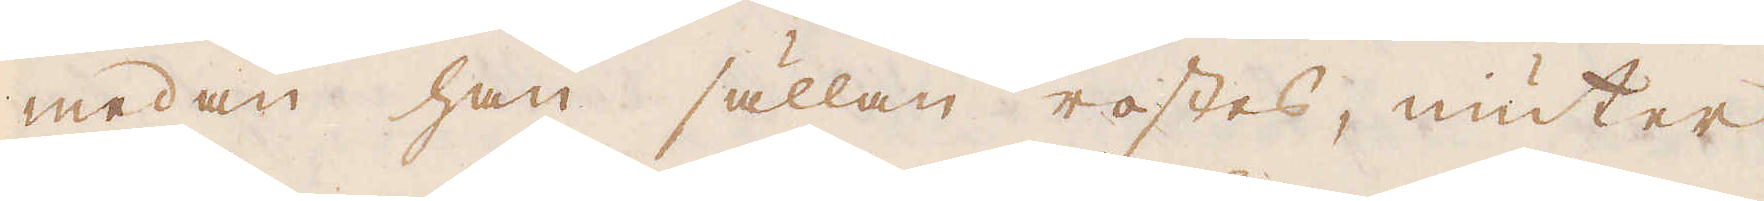medan han sällan rostes, niuter
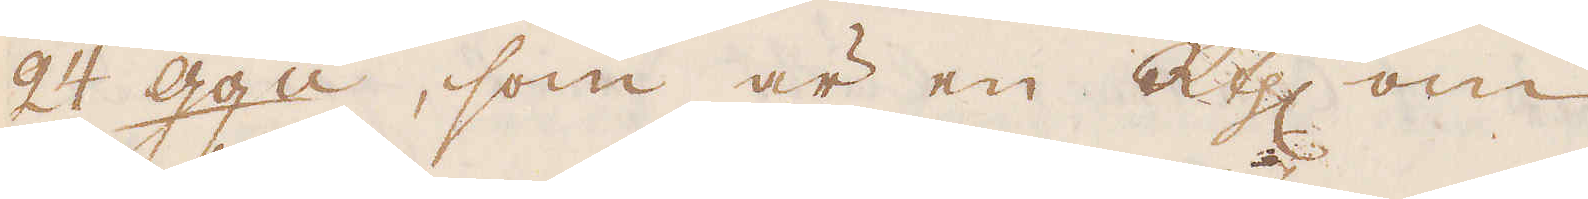24 gg:n, som är en R:thlr om
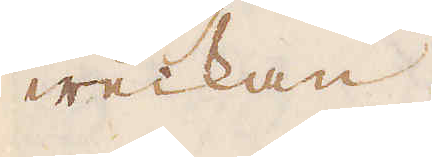weckan.
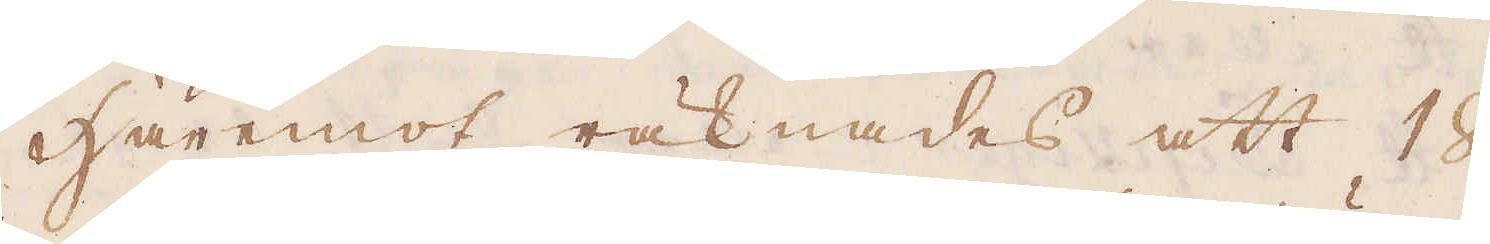Häremot räknades att 18
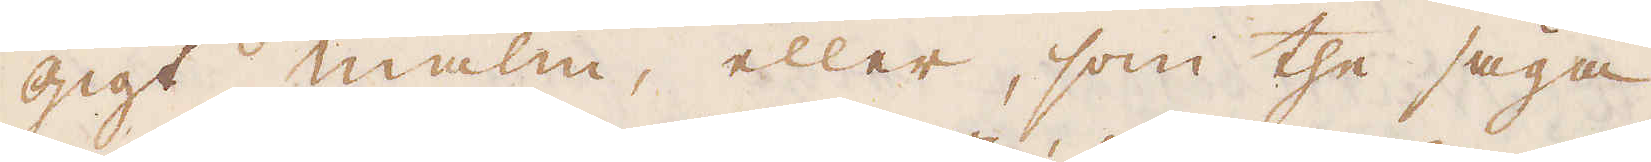gigt malm, eller, som the säga,
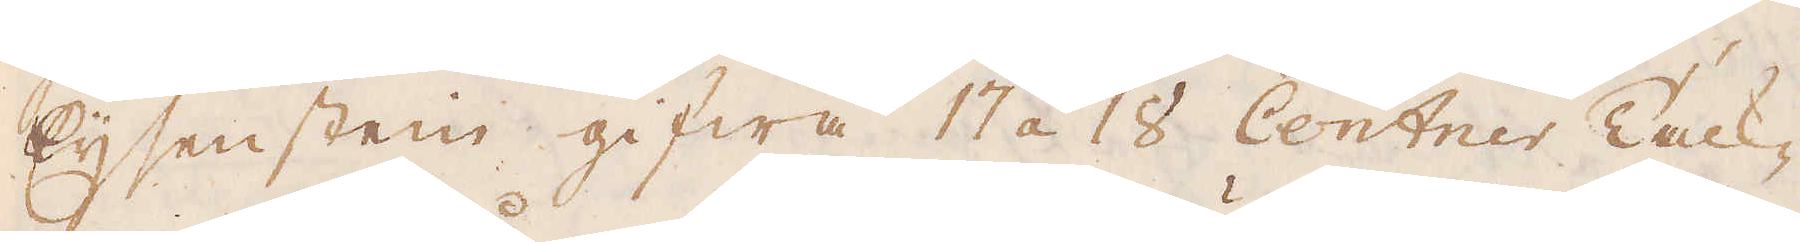Eijsenstein gifwa 17 á 18 Centner Tack-
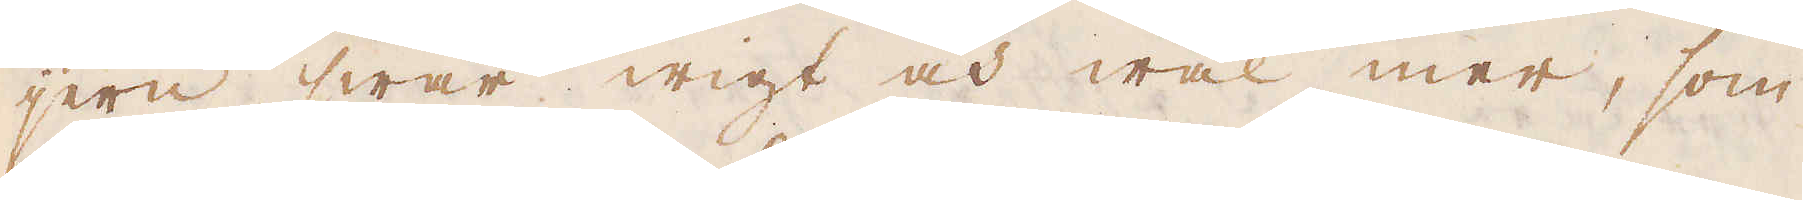jern swår wigt och wäl mer, som
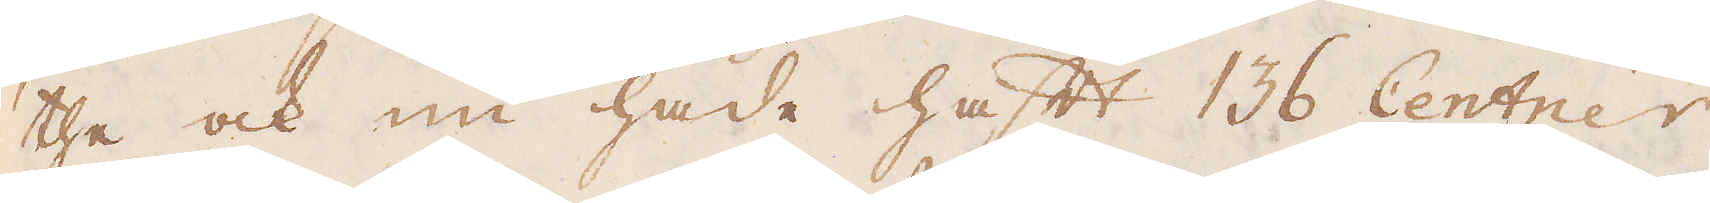the ock nu hade haft 136 Centner
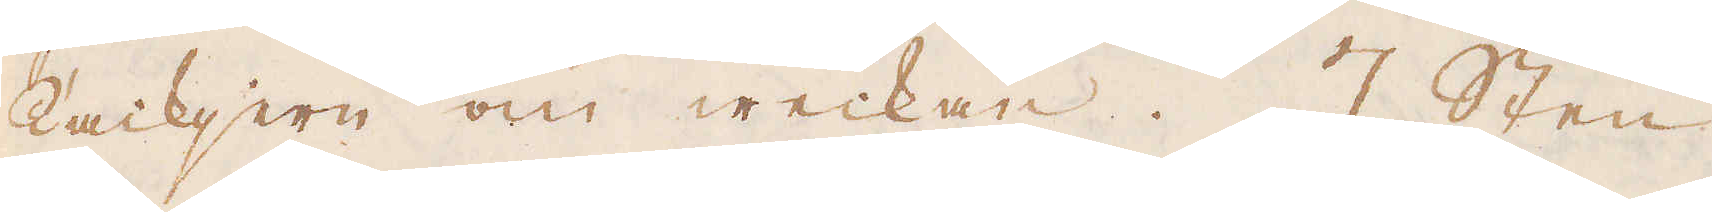tackjern om weckan. 7 Sten
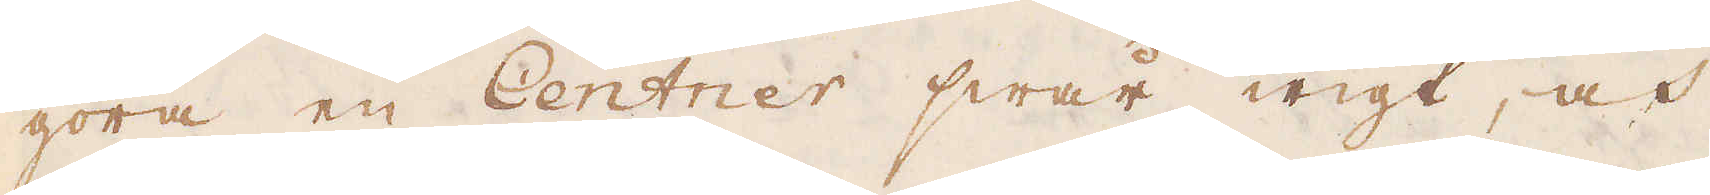göra en Centner swår wigt, och
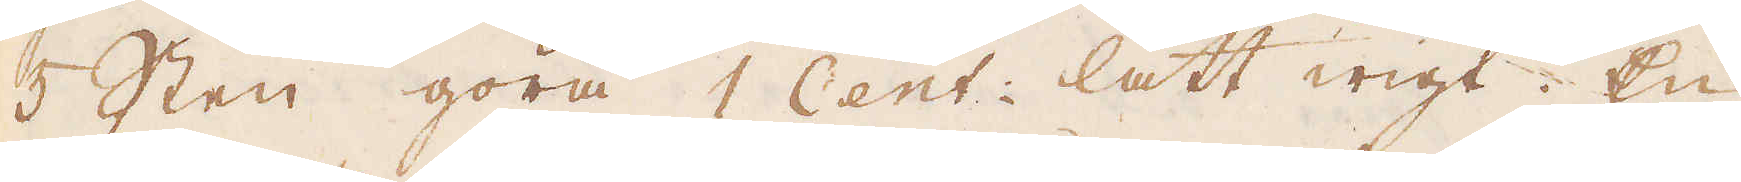5 Sten göra 1 Cent: lätt wigt. En
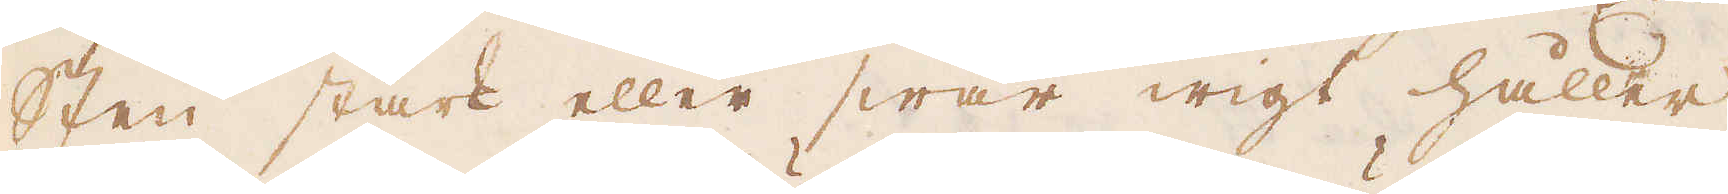sten stark eller swår wigt håller
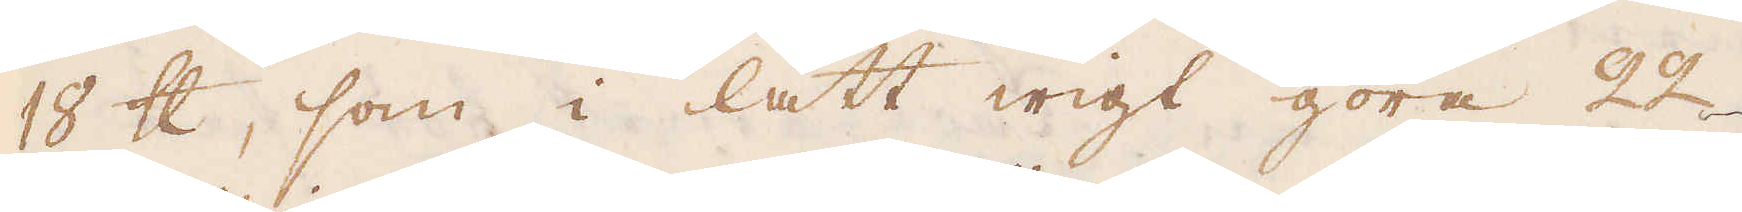18 skålpund, som i lätt wigt göra 22
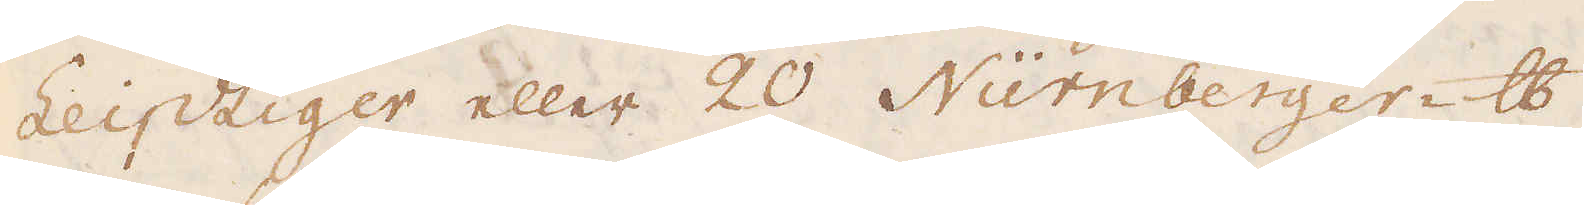Leipziger eller 20 Nürnberger-skålpund.
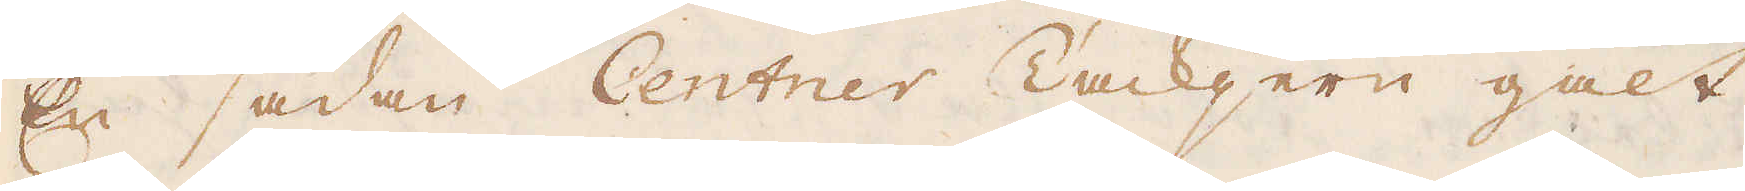En sådan Centner Tackjern galt
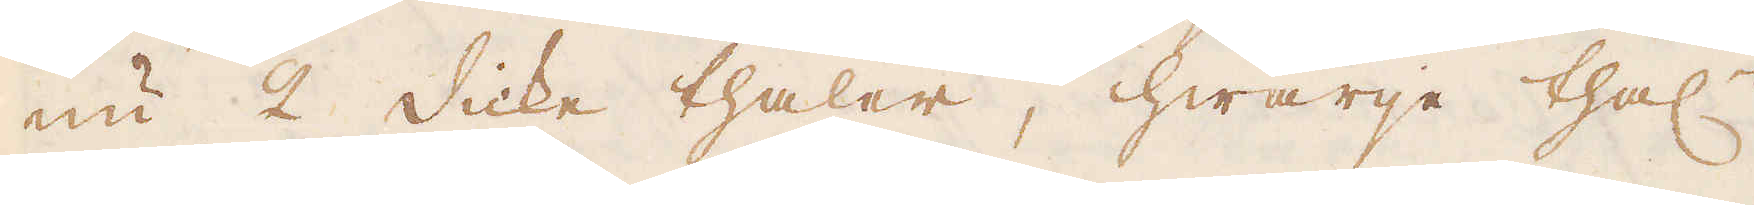nu 2 Dicke thaler, hwarje thal:r
